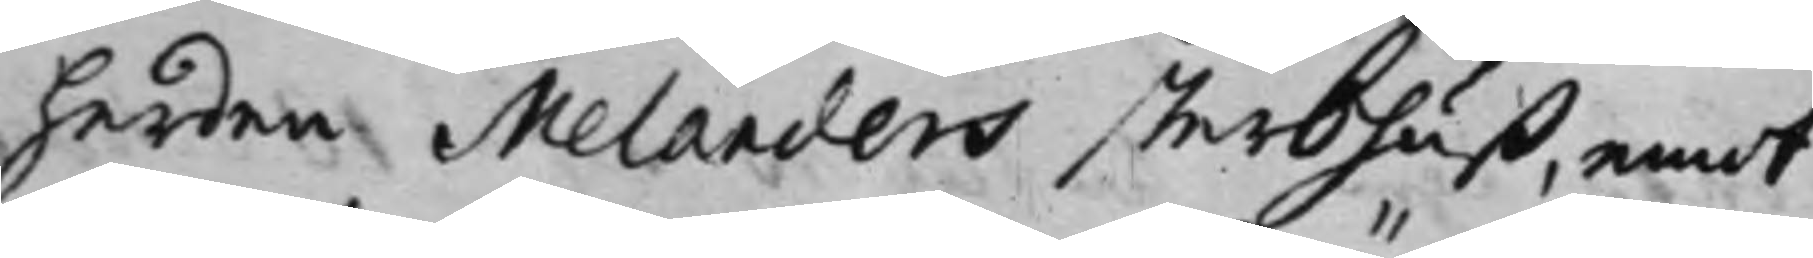herden Melanders sterbhuß, emot
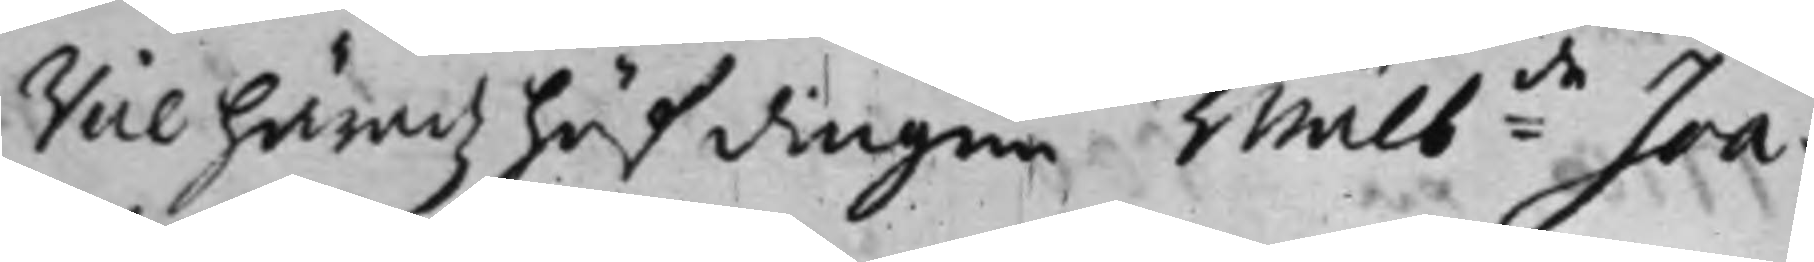Vice häradz höfdingen Wälb:de Joa¬
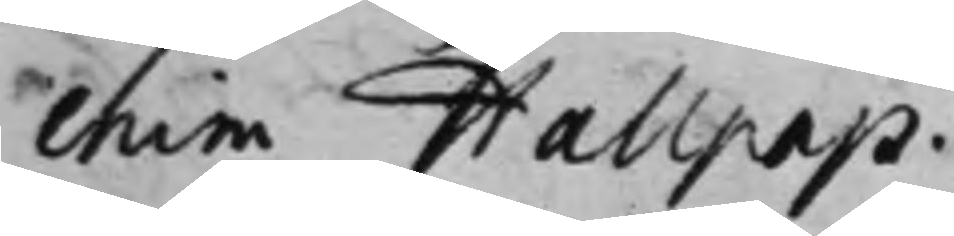chim Hallpap.
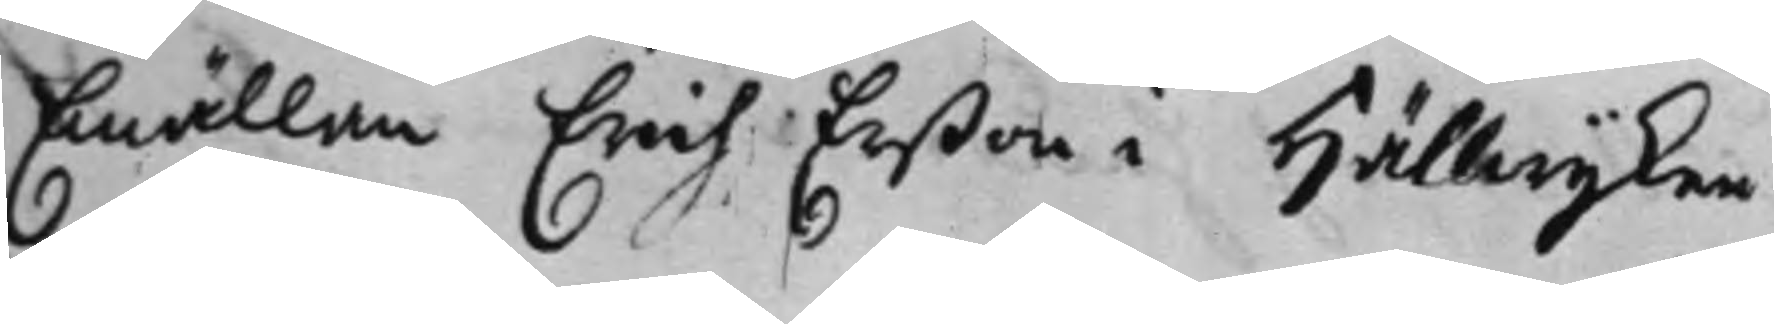Emällan Erich Erßon i Hällwijken,
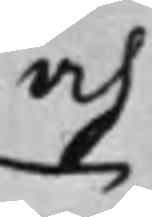och
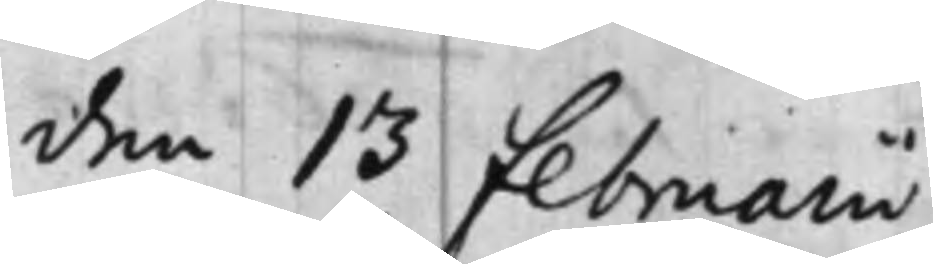den 13 Februarii
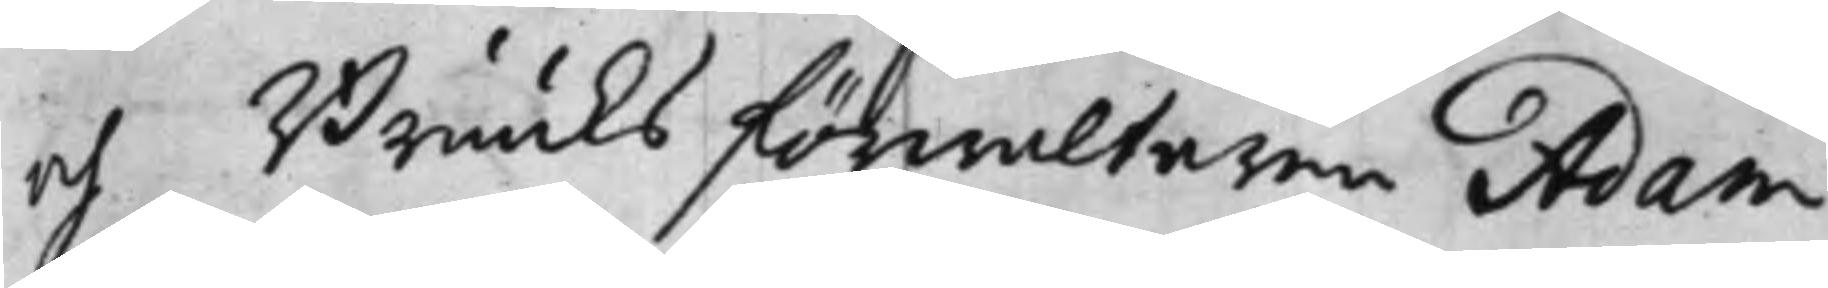och Bruuks förwaltaren Adam
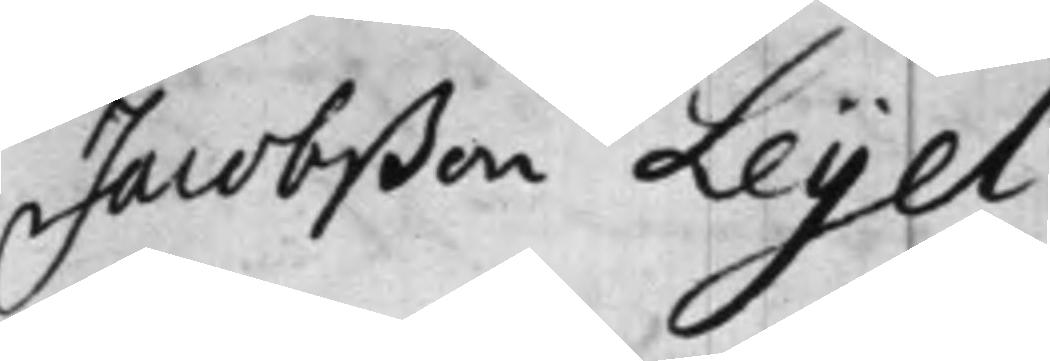Jacobßon Leyel.
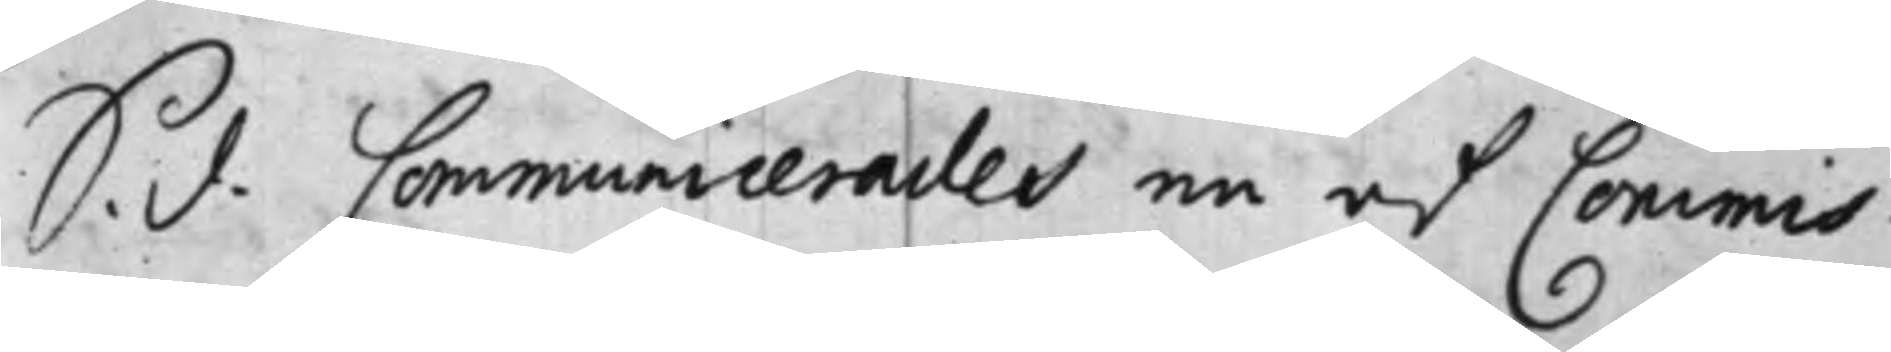S. d. Communicerades en af Commis¬
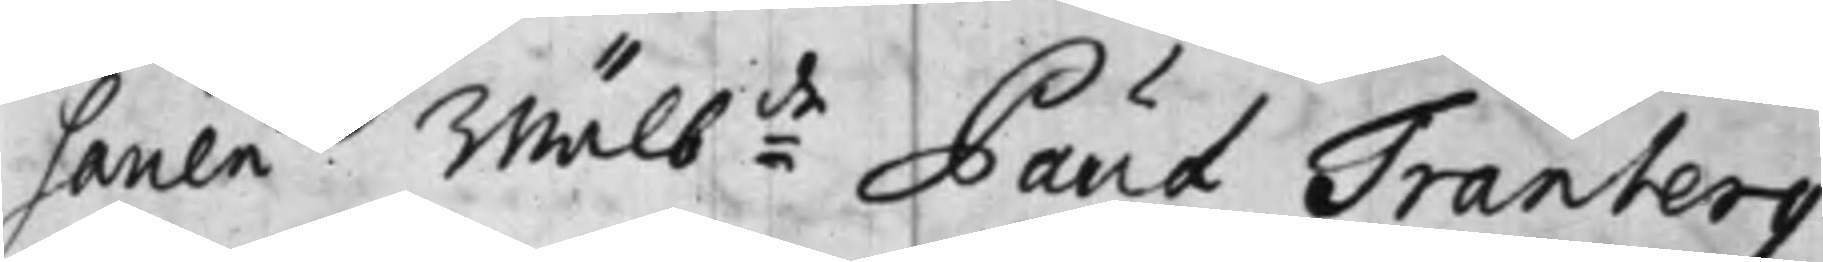sarien Wälb:de Paul Tranberg
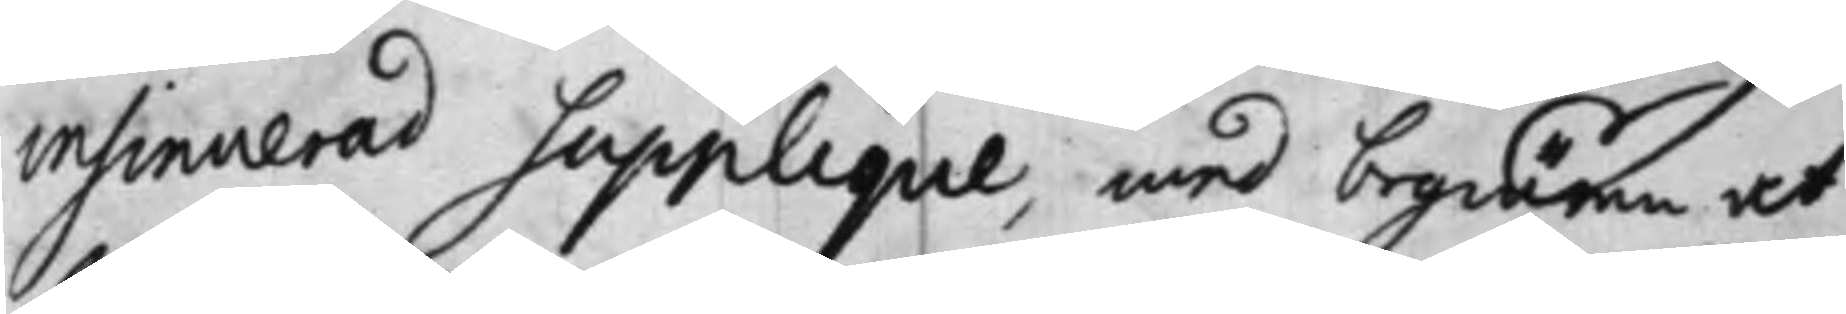insinuerad Supplique, med begiäran at
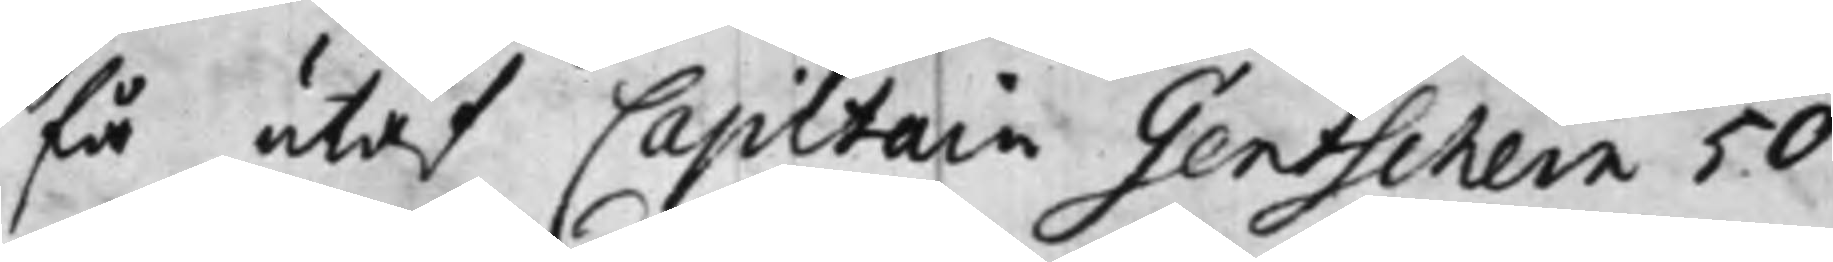få utaf Capitain Gentschein 50 
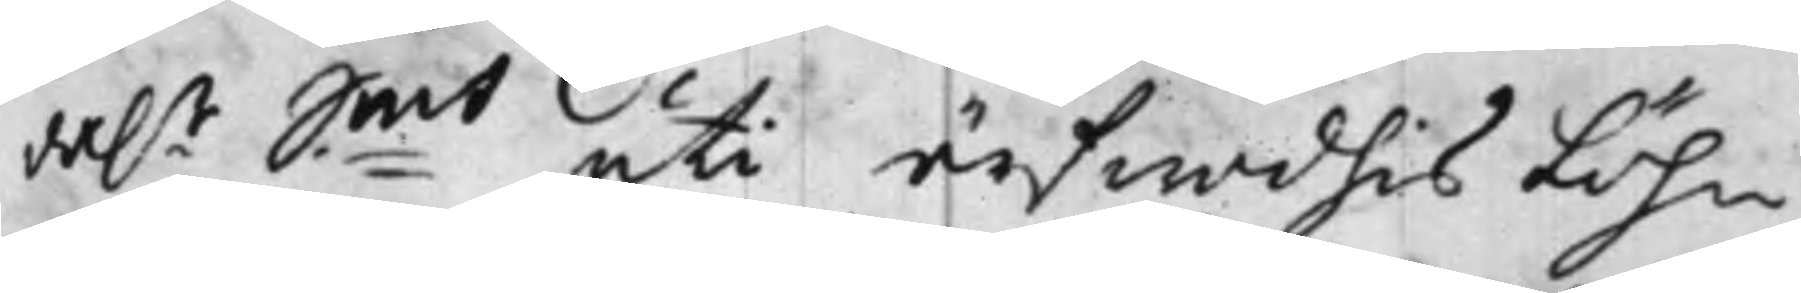da.r S:mt uti ärfwodhis Löhn,
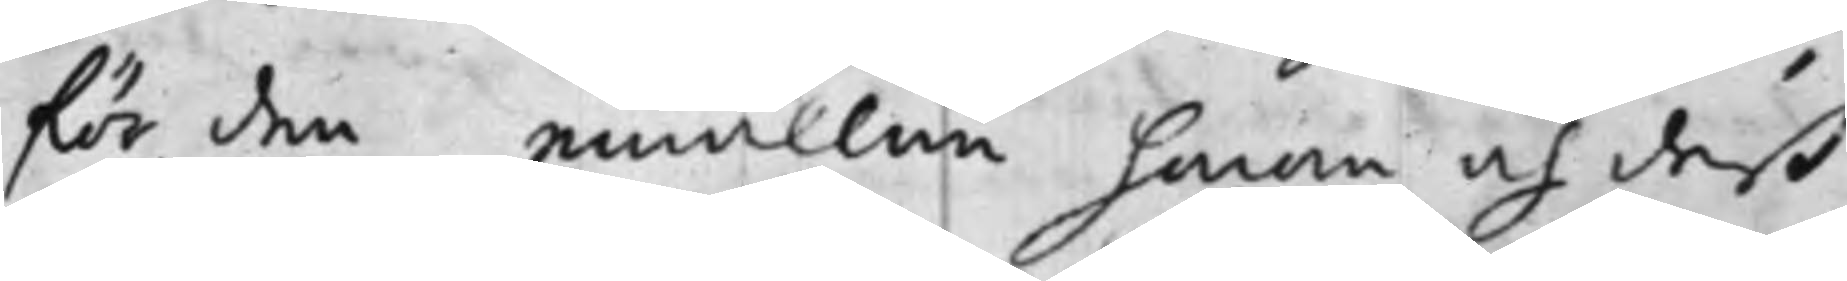för den emällan honom och deß
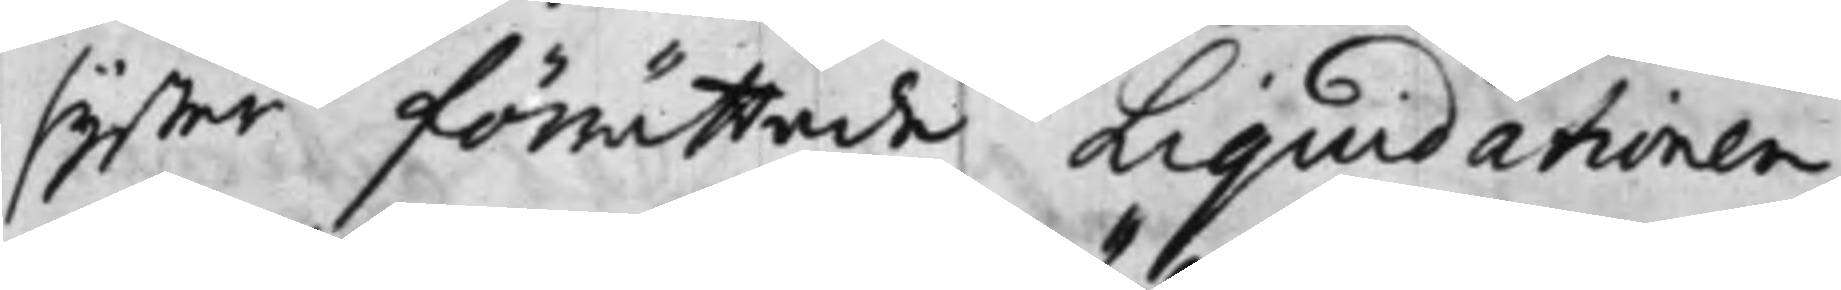syster förrättade Liquidationen,
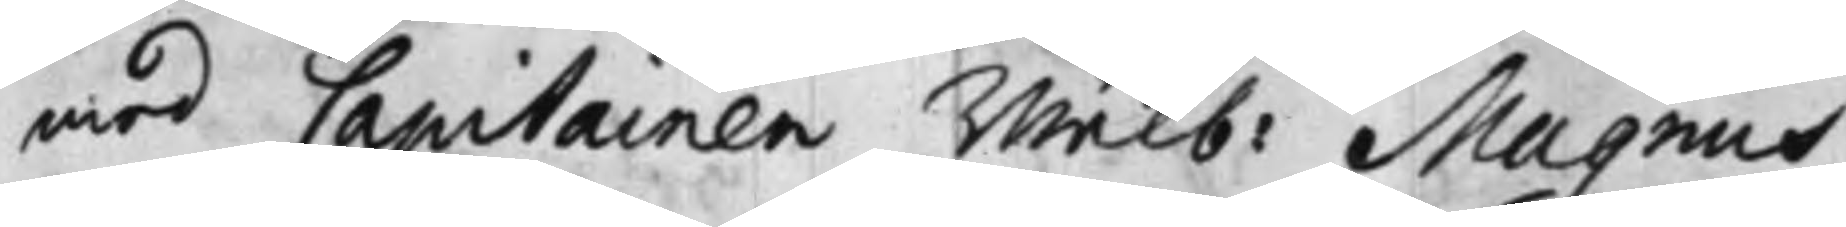med Capitainen Wälb: Magnus
